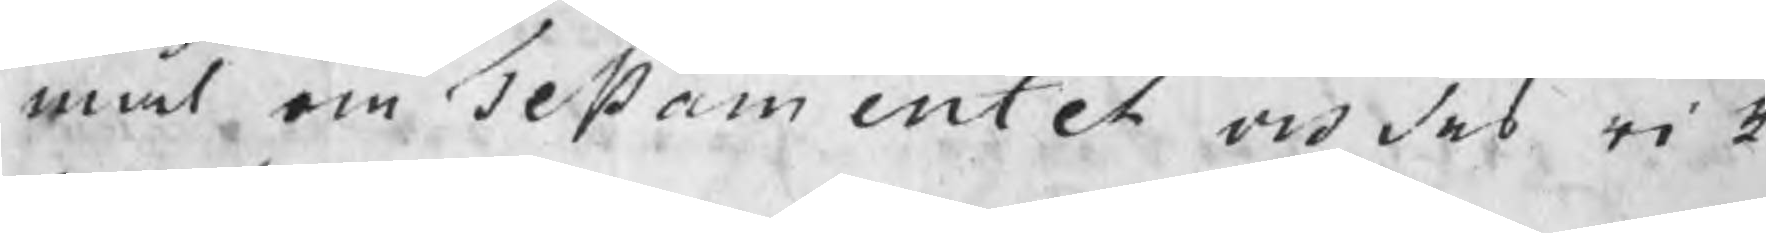mål om Testamentet vid des rik¬
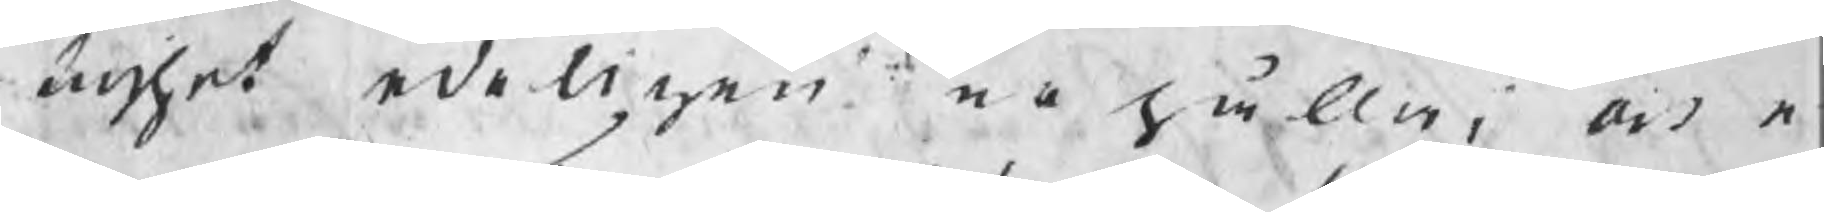tighet edeligen erhålla; och e¬
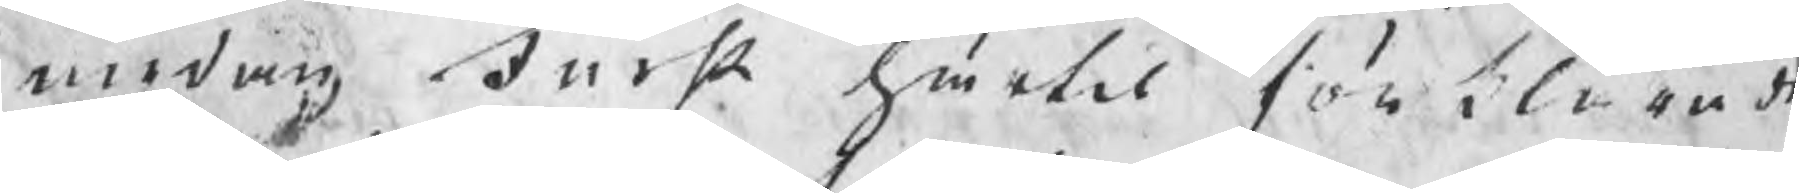medan Furst härtil förklarade
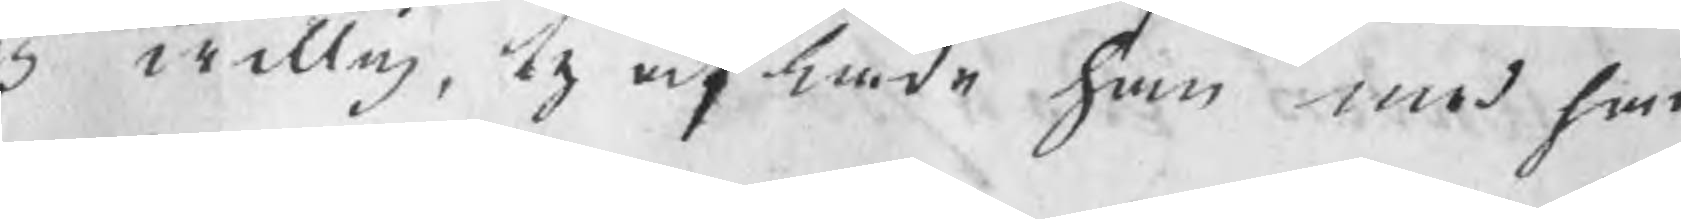sig willig, ty aflade han med han
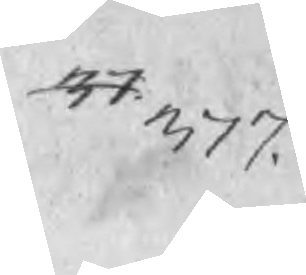37 377.
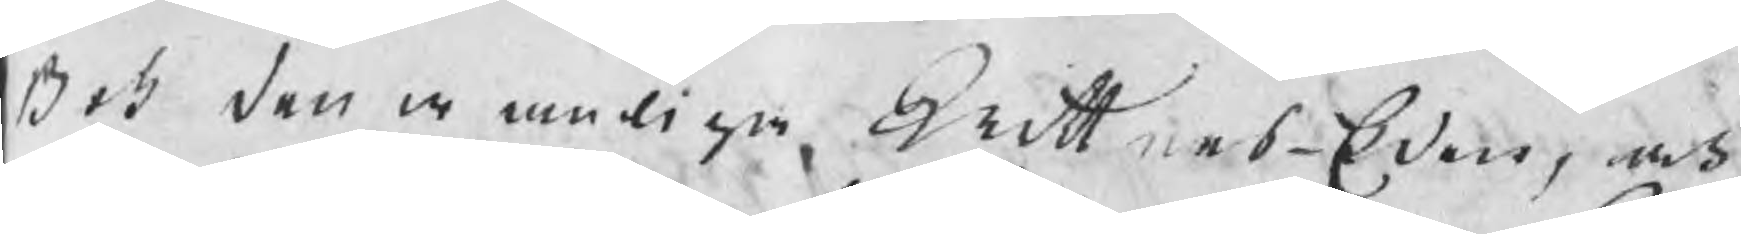Bok den wanliga WittnesEden, och
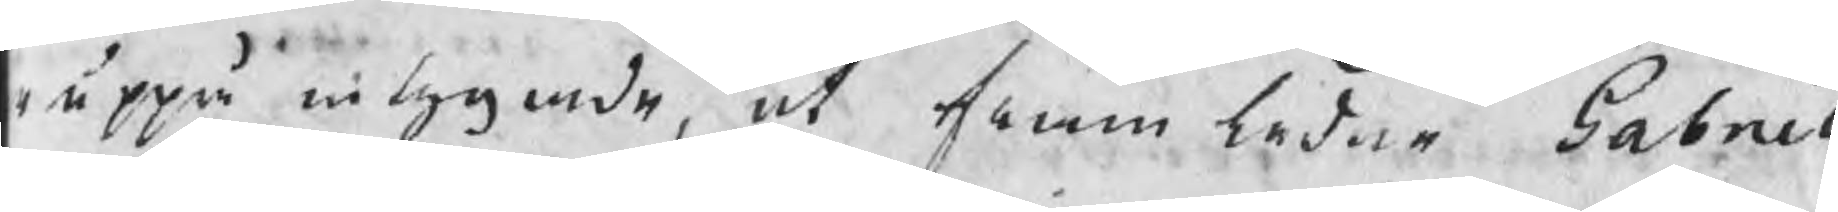uppå intygade, at framledne Gabriel
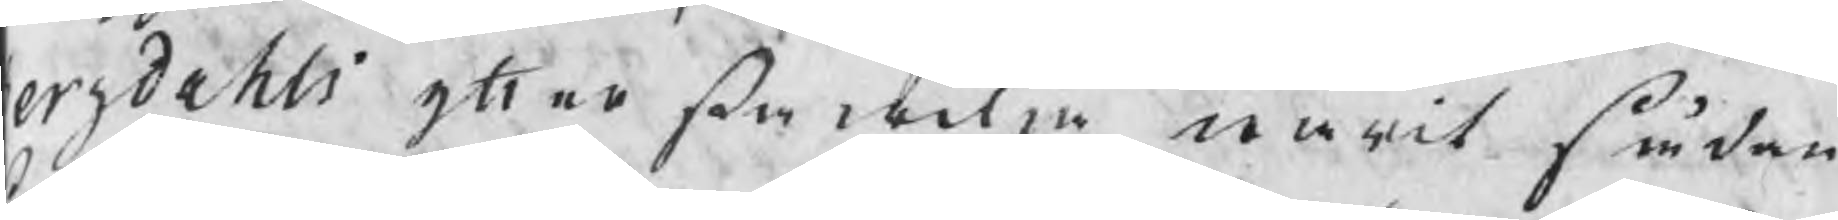ergdahls yttersta wilja warit sådan
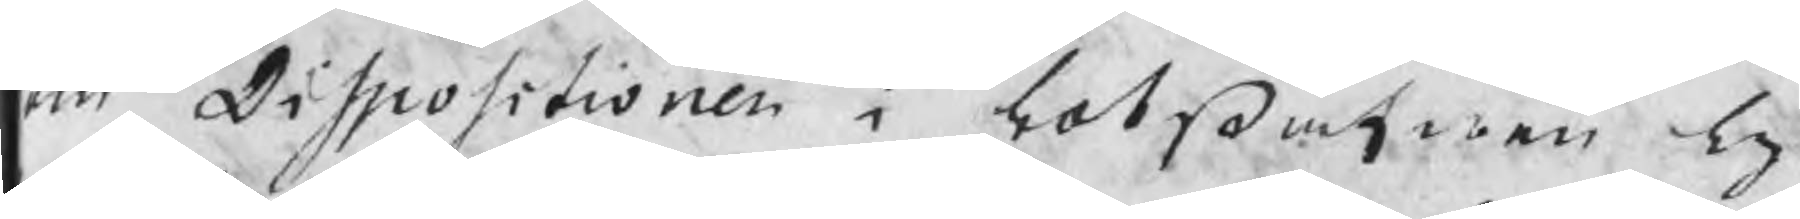om Dispositionen i lotsafwen ly¬
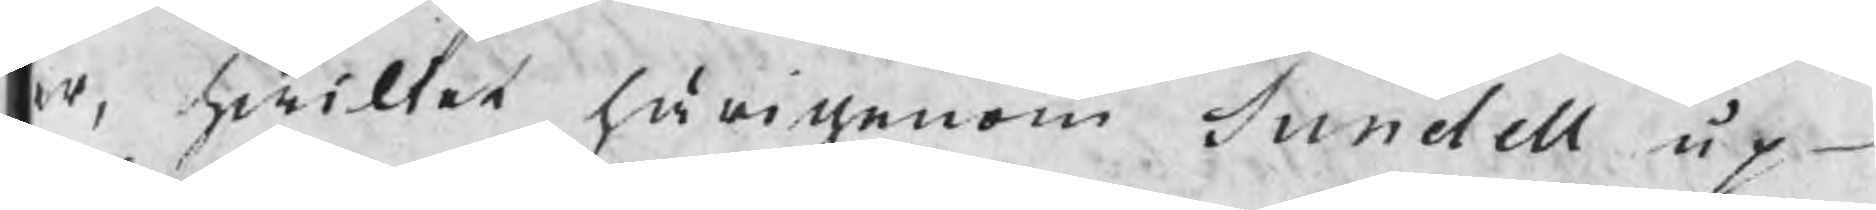er, hwilket härigenom Sundell up¬
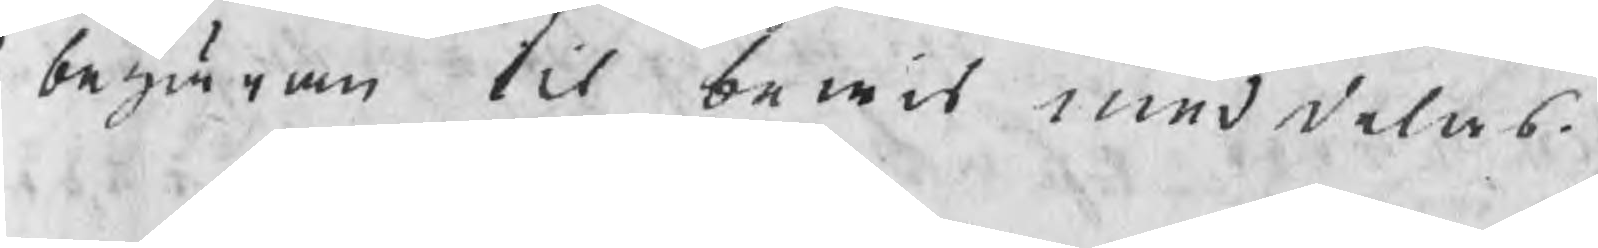begäran til bewis meddelas.
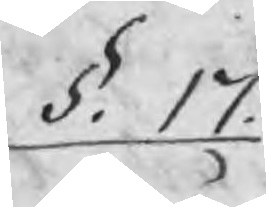§.  17.
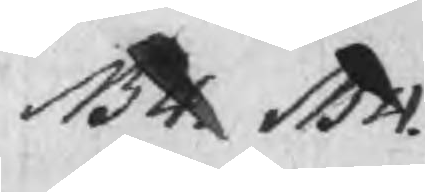NB4  NB4
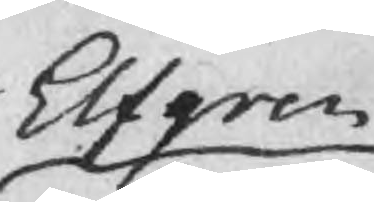Elfgren
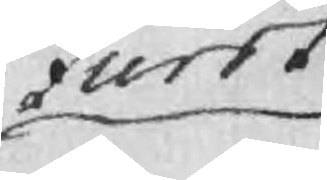Furst
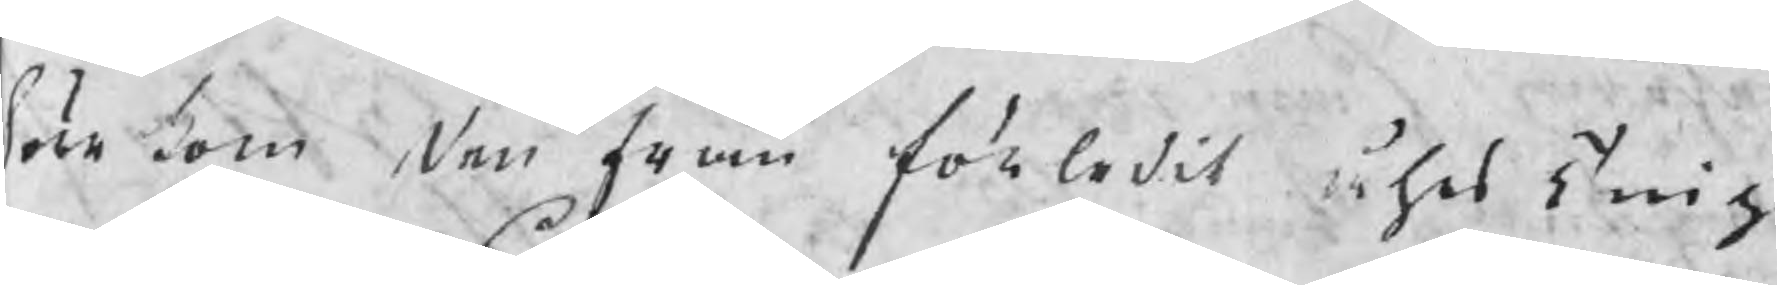Förekom den från förledit åhrs Ting
